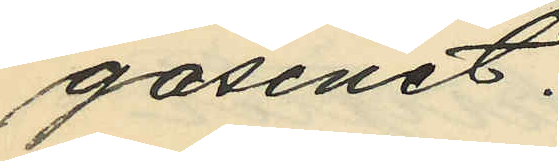gasinet.
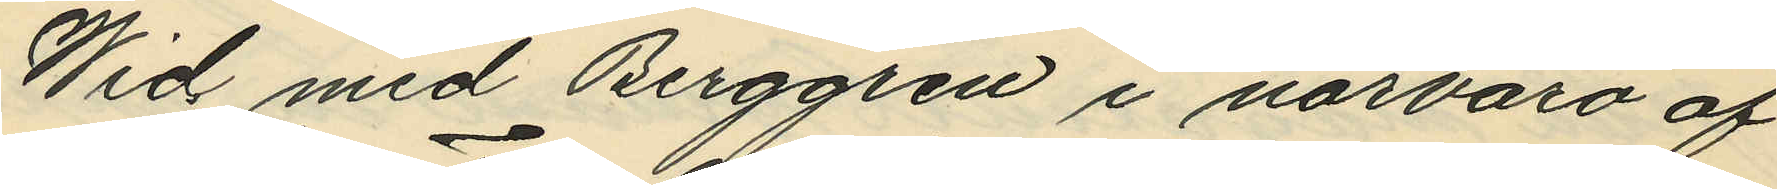Wid med Berggren i närvaro af
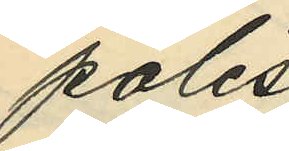polis¬
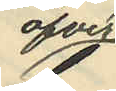öfver¬
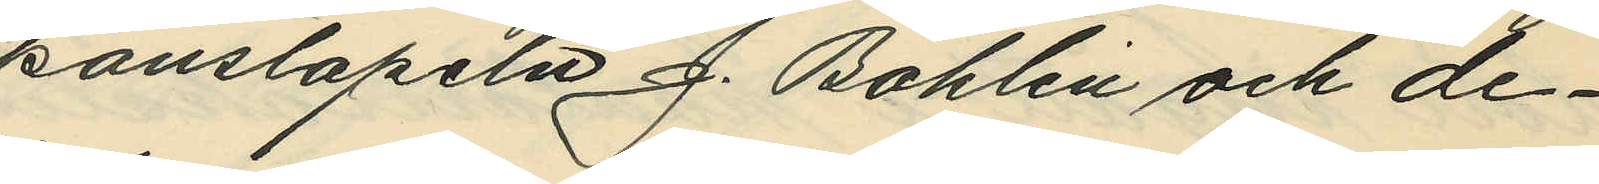konstapeln J. Bohlin och de¬
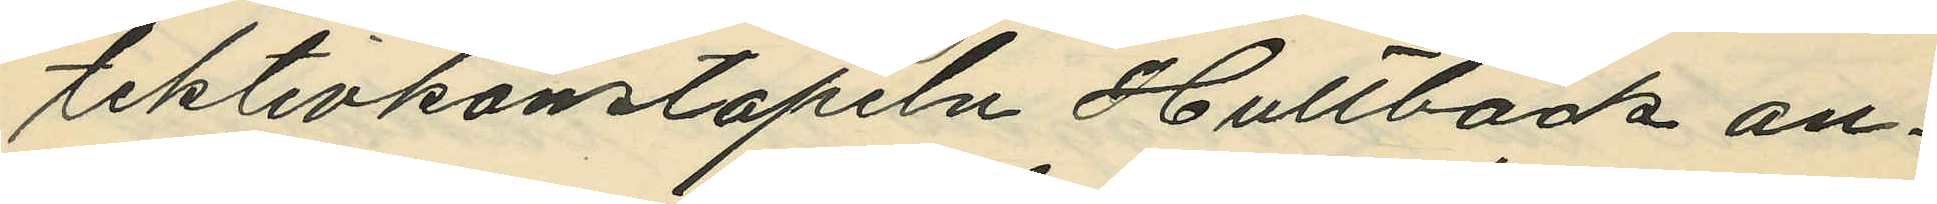tektivkonstapeln Hultbäck an¬
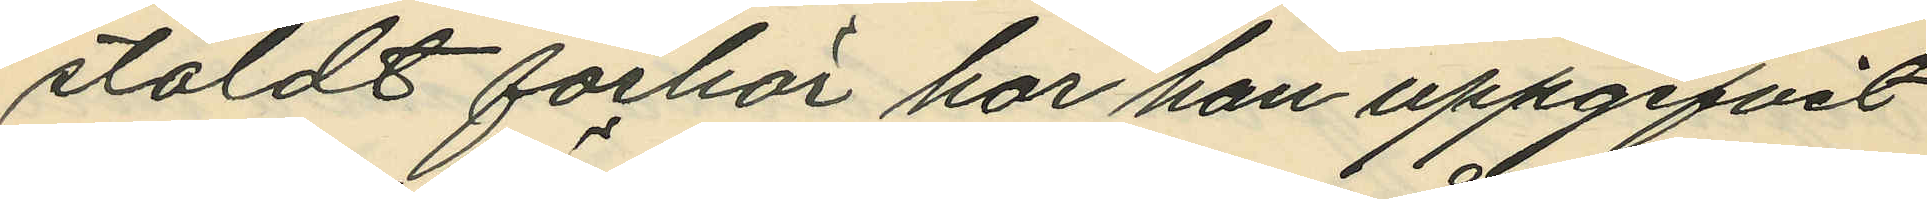stäldt forhör har han uppgifvit
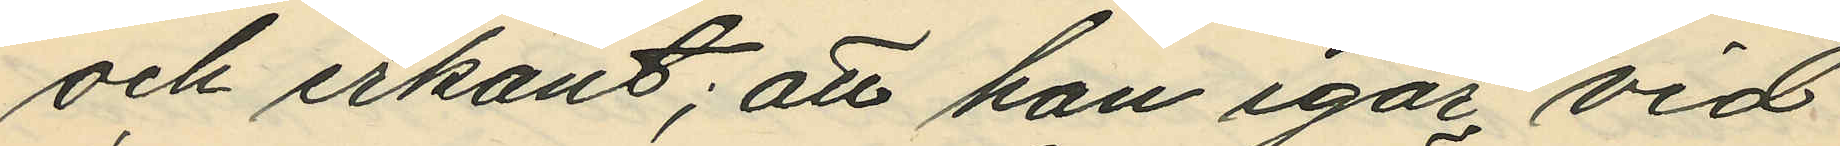och erkänt; att han igår vid
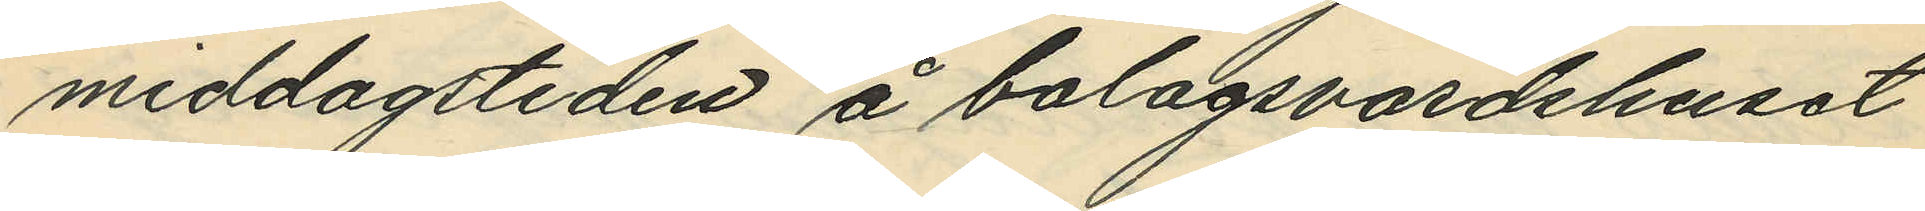middagstiden å bolagsvärdshuset
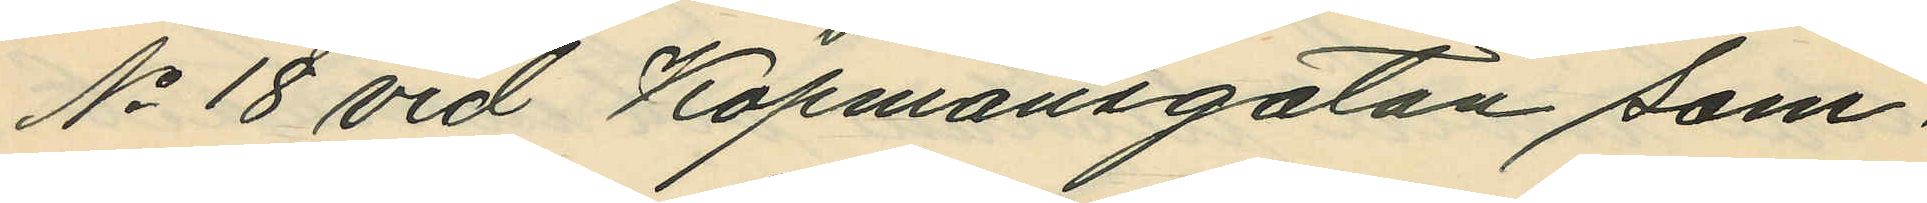No 18 vid Köpmansgatan sam¬
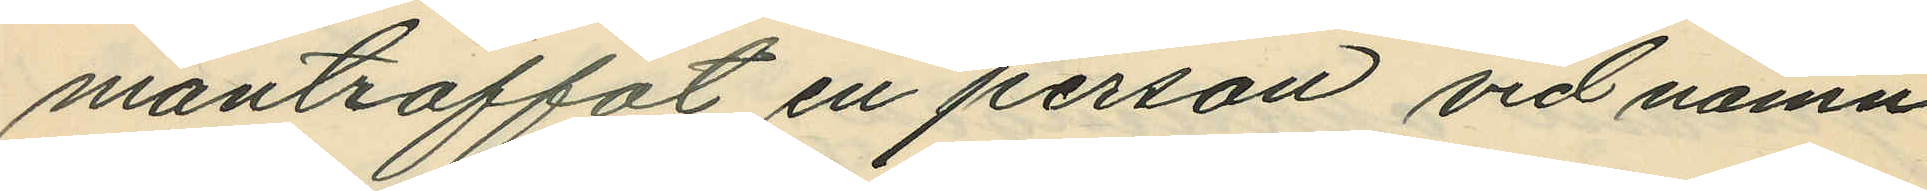manträffat en person vid namn
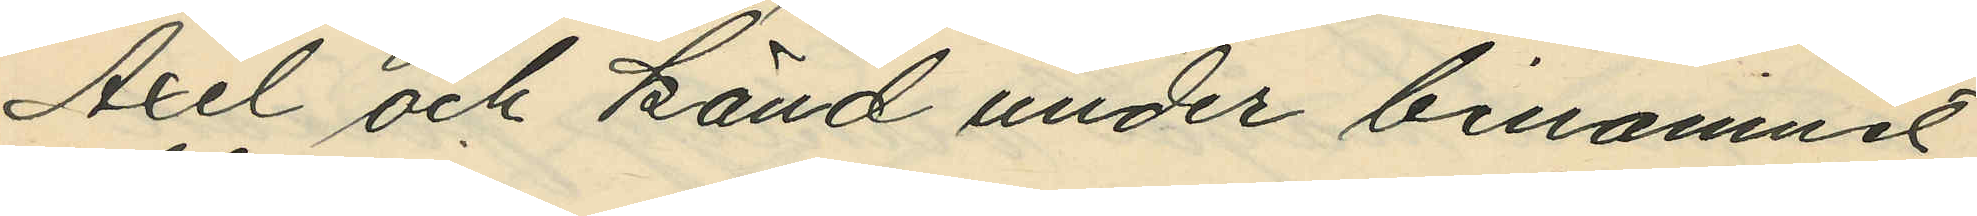Axel och känd under binamnet
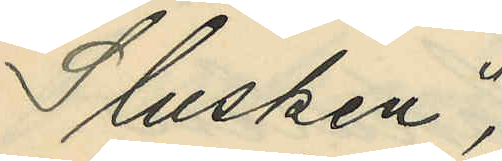"Slusken";
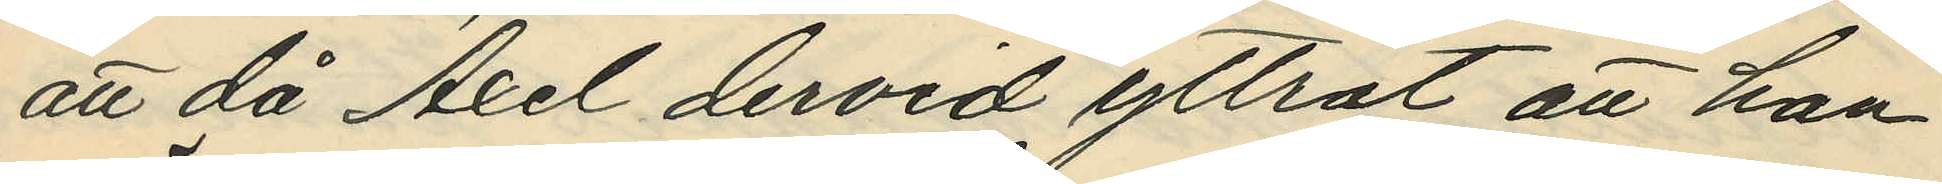att då Axel dervid yttrat att han
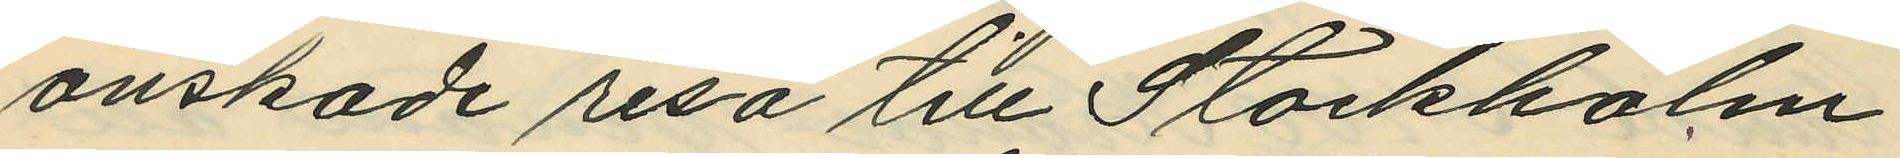önskade resa till Stockholm
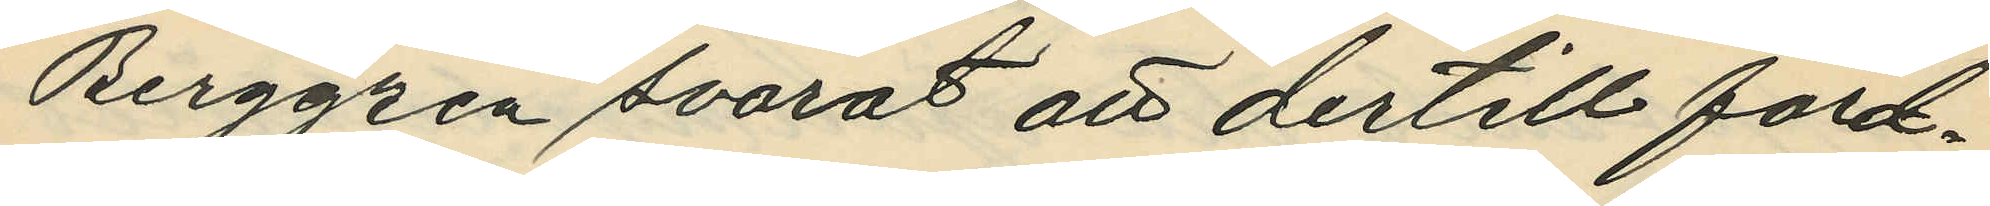Berggren svarat att dertill ford¬
